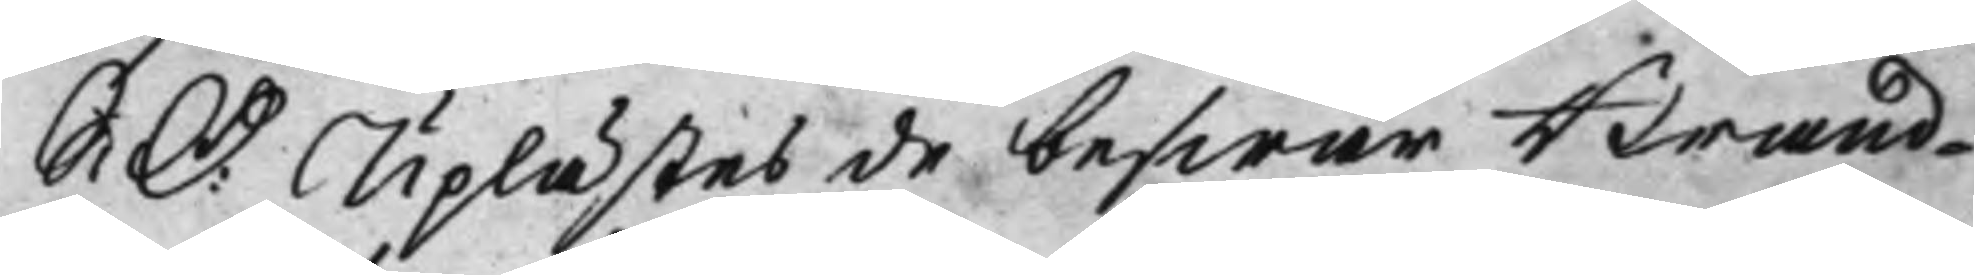S: D: Uplästes de beswär Brand¬ 
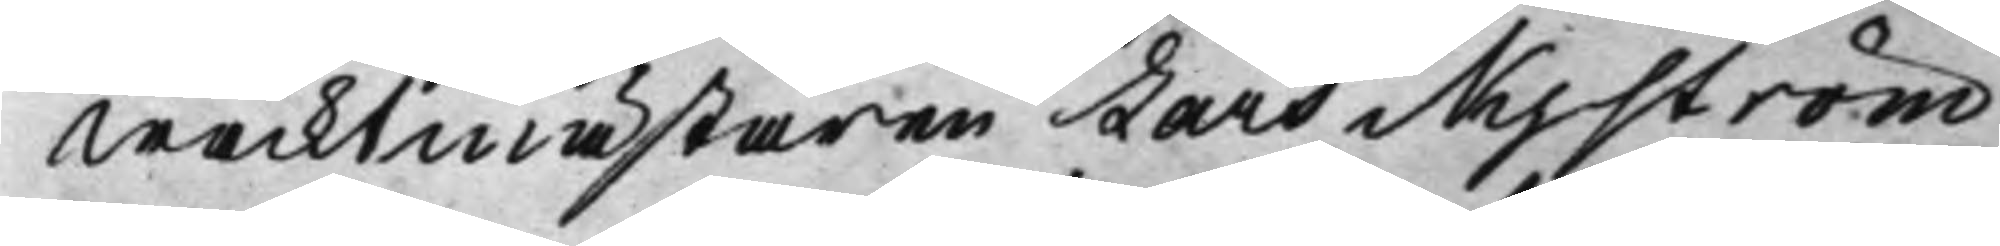wacktmästaren Lars Nyström
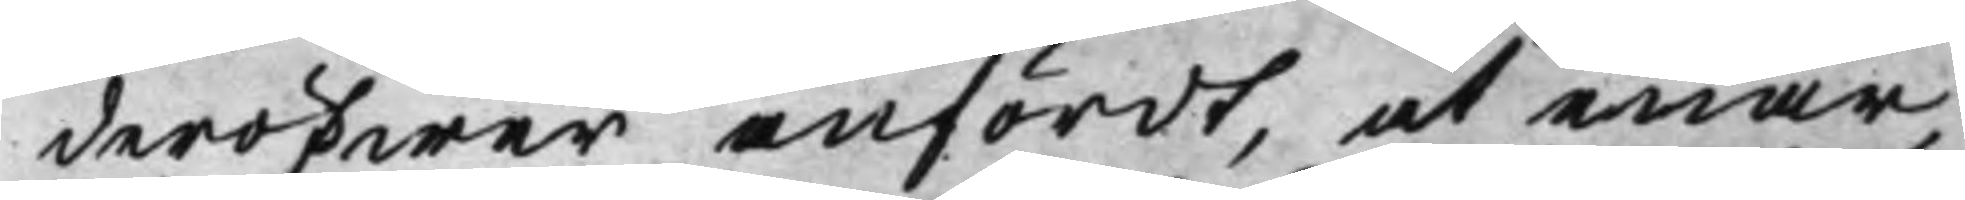deröfwer anfördt, at enär
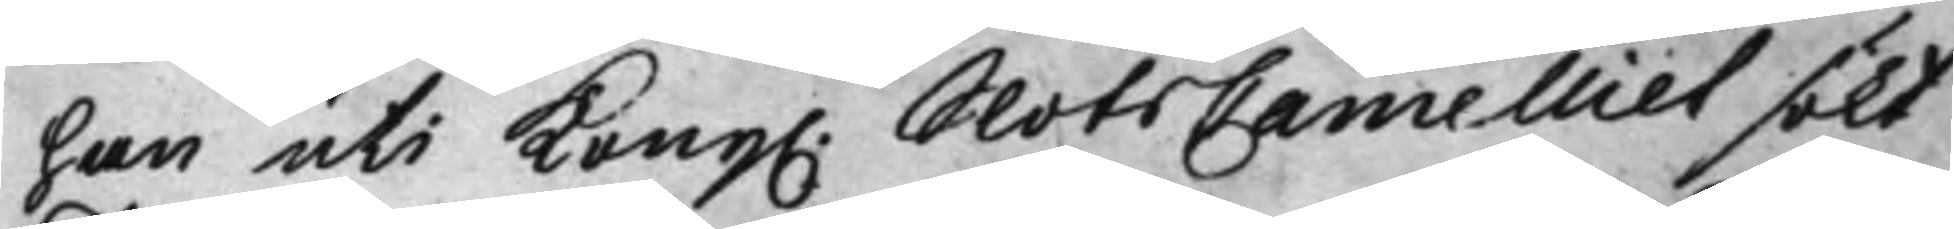han uti Kong. SlotsCancelliet sökt 
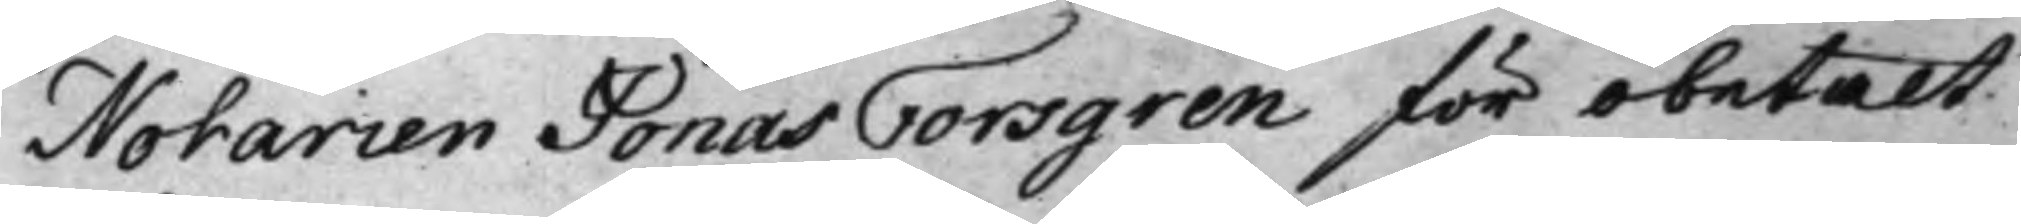Notarien Jonas Forsgren för obetalt
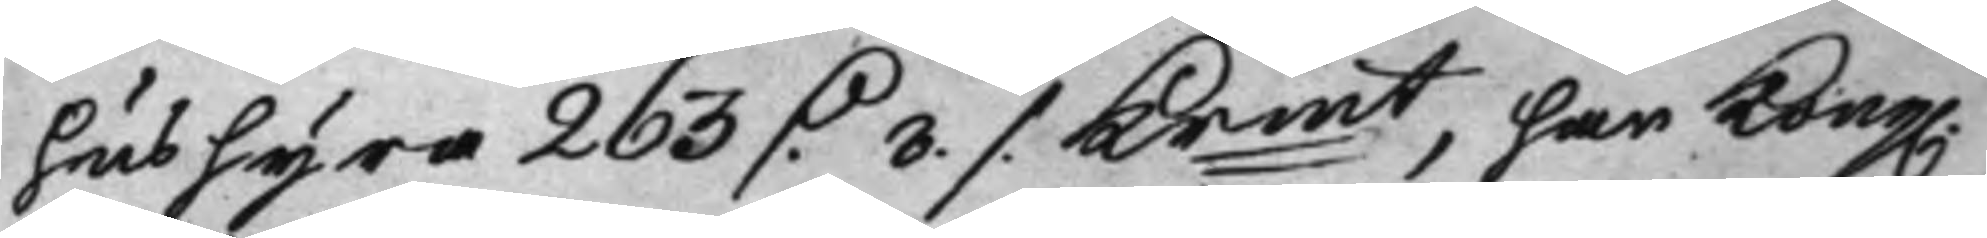hushyra 265 D. 8 ./. Krmt, har Kong. 
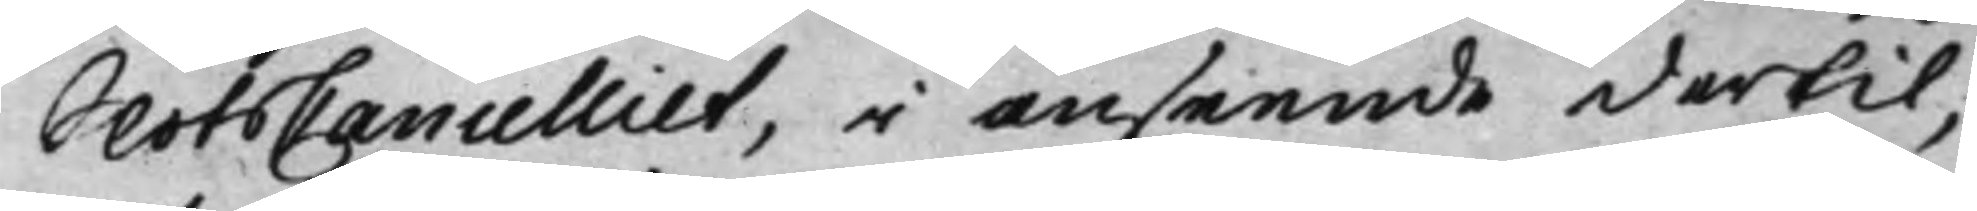SlotsCancelliet, i anseende dertil,
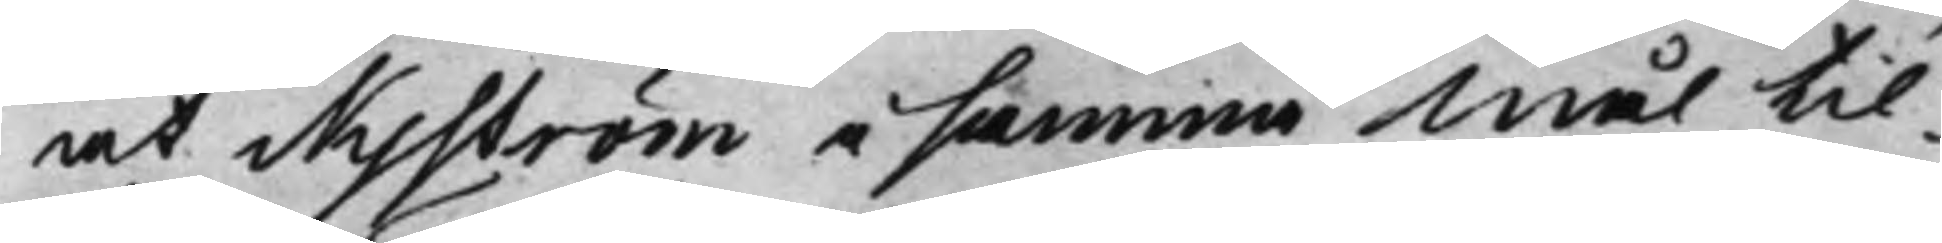at Nyström i samma Mål til¬
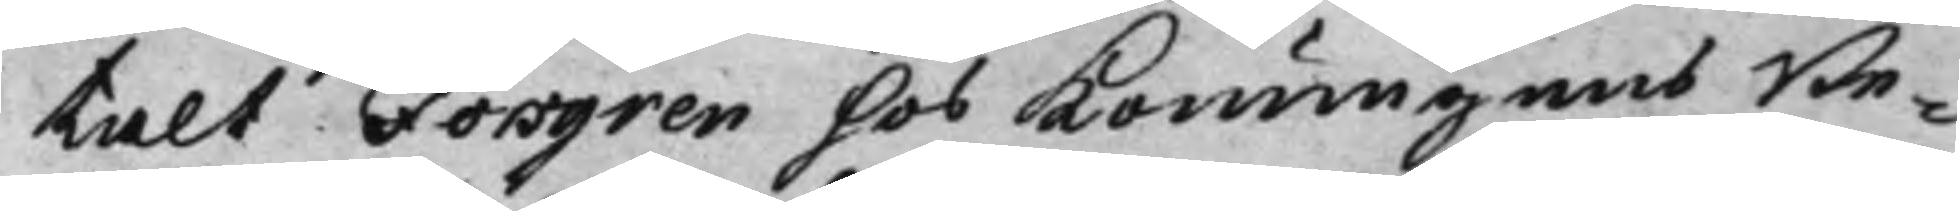talt Forsgren hos Konungens Be¬
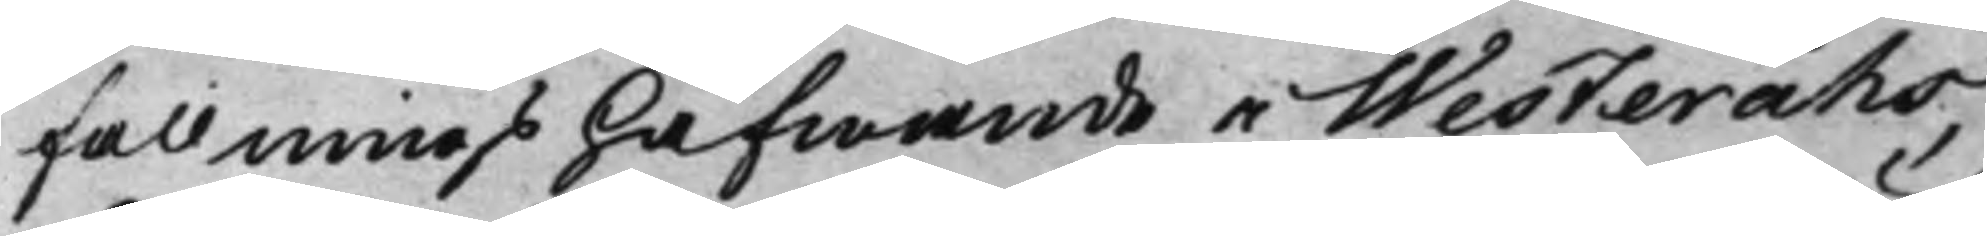fallningshafwande i Westeråhs,
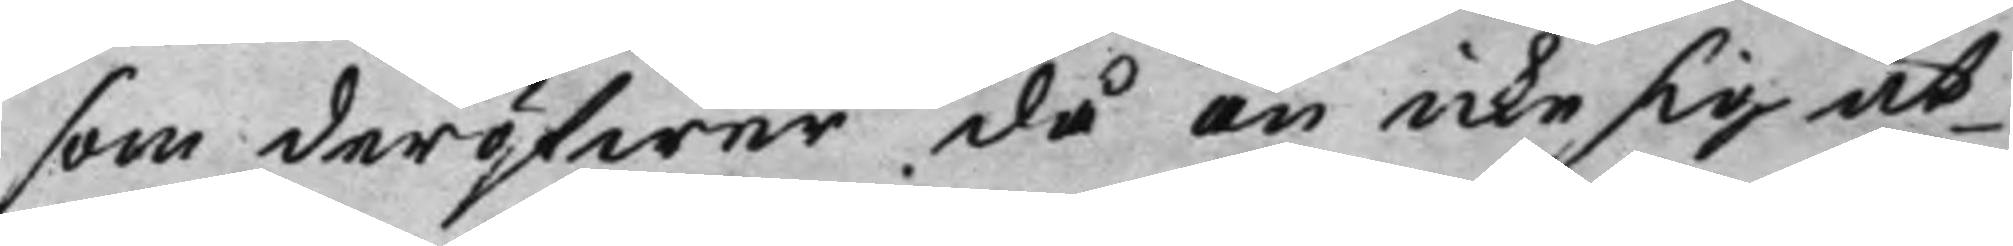som deröfwer då än icke sig ut¬
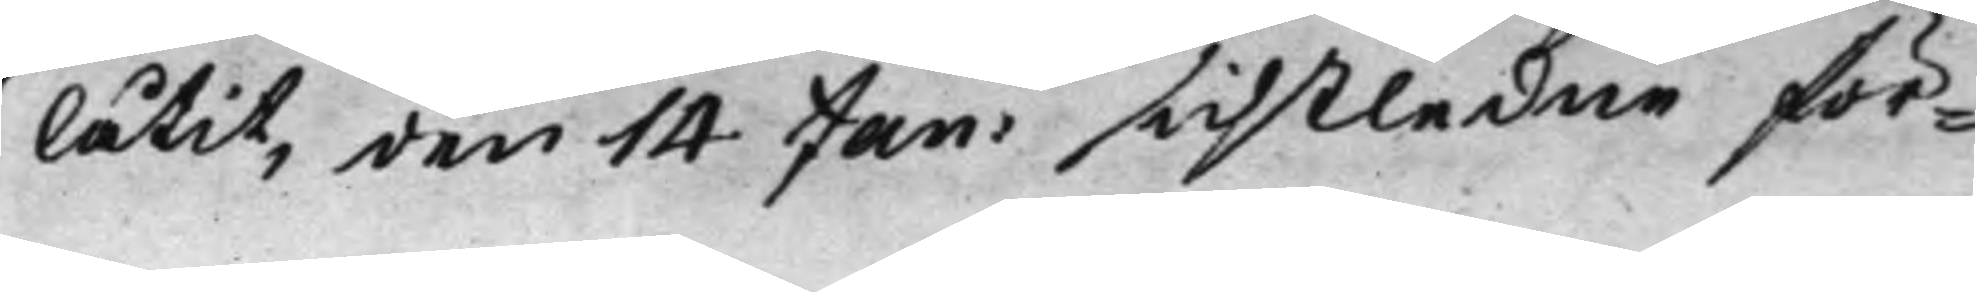låtit, den 14 Jan: sistledne för¬
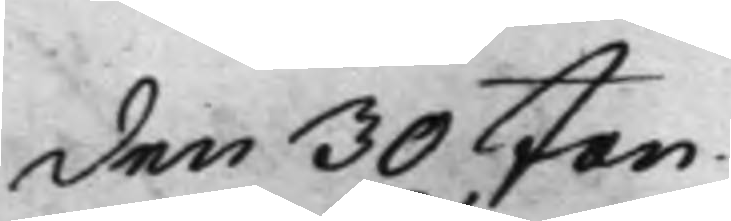den 30 Jan. 
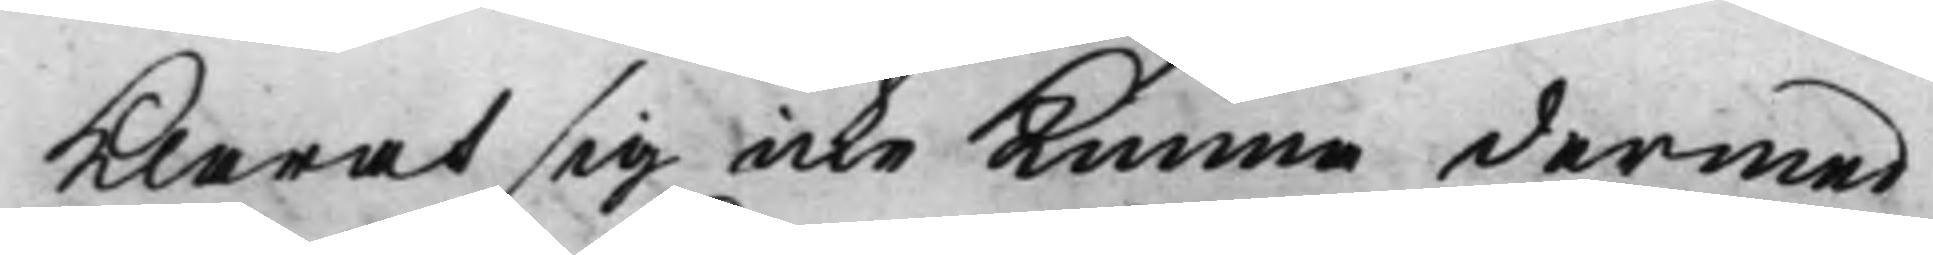Klarat sig icke Kunna dermed
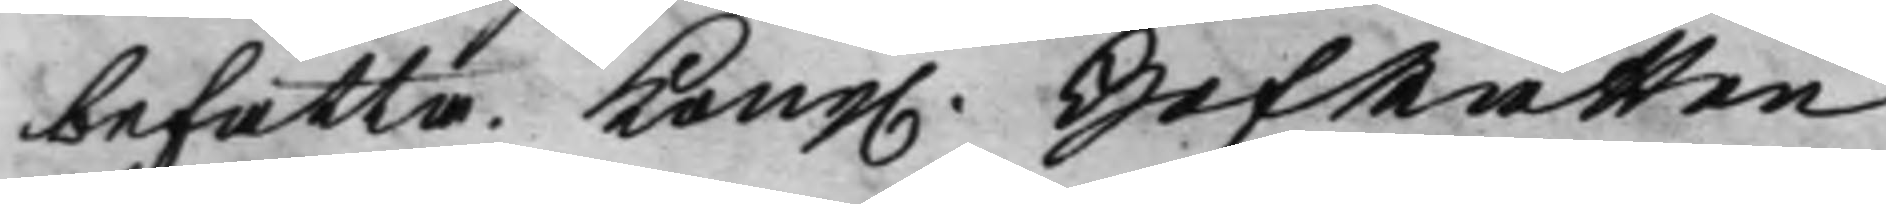befatta. Kong. HofRätten 
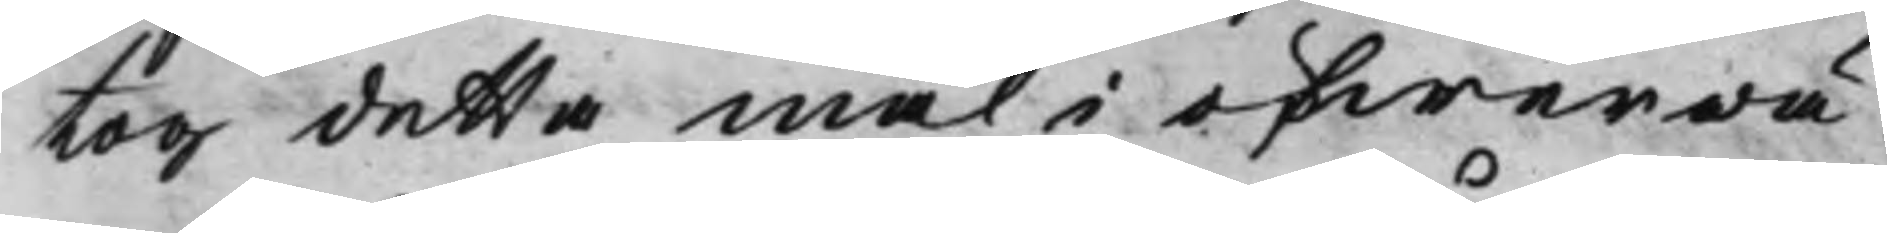tog detta mål i öfwerwä¬
